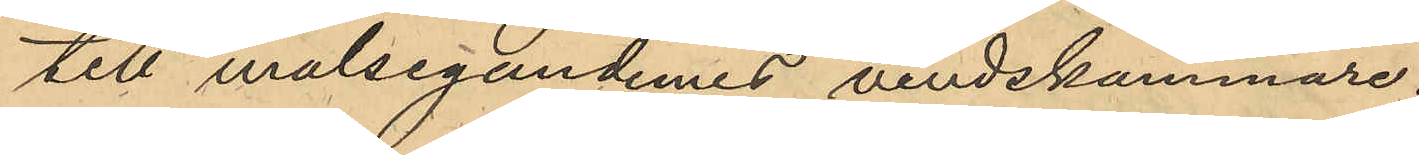till målsegandernes vindskammare.
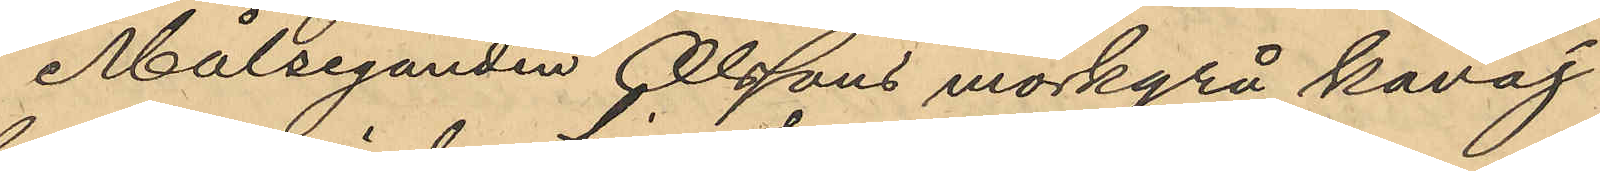Målseganden Olssons mörkgrå kavaj
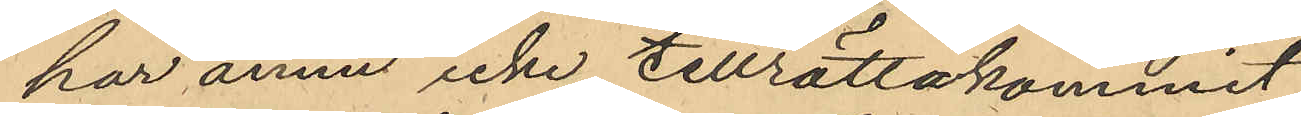har ännu icke tillrättakommit.
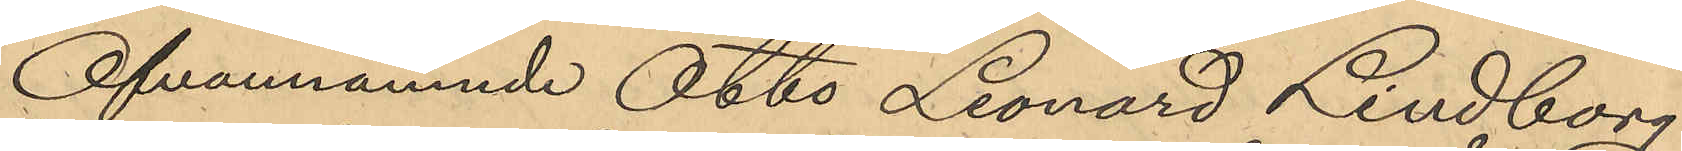Ofvannämnde Otto Leonard Lindborg
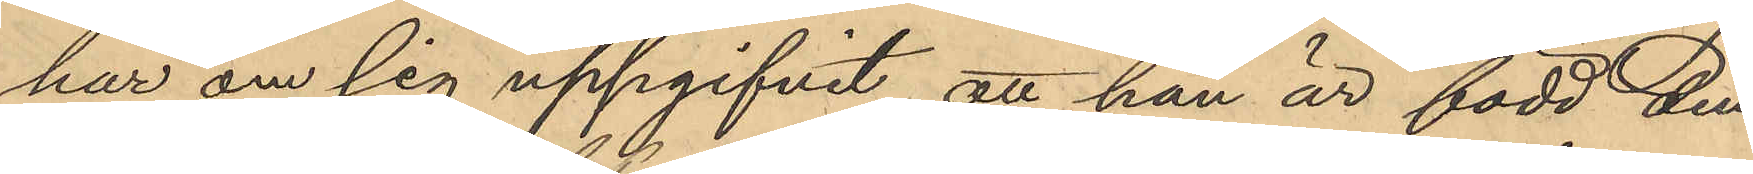har om sig uppgifvit att han är född den
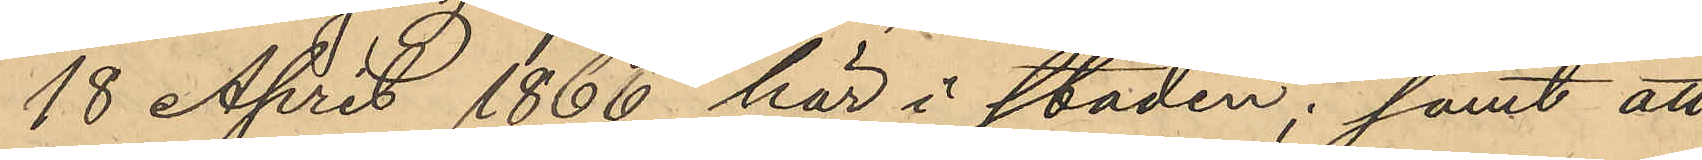18 April 1866 här i staden; samt att
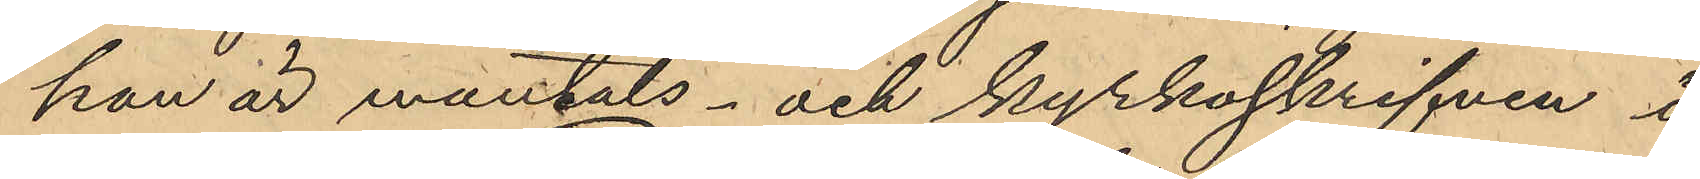han är mantals- och kyrkoskrifven i
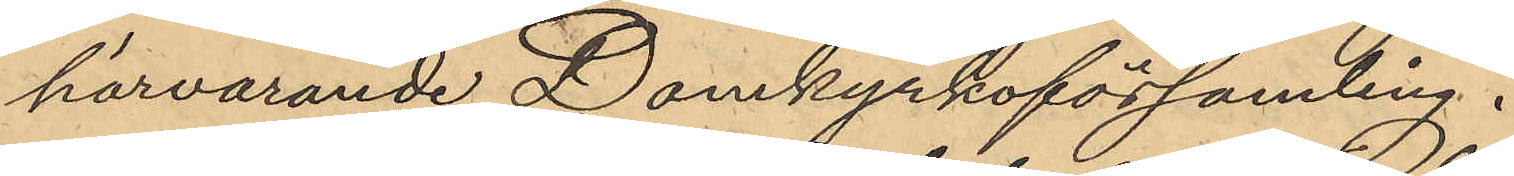härvarande Domkyrkoförsamling.
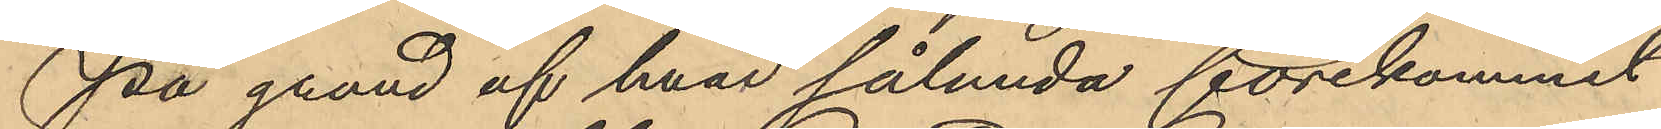På grund af hvar sålunda förekommit
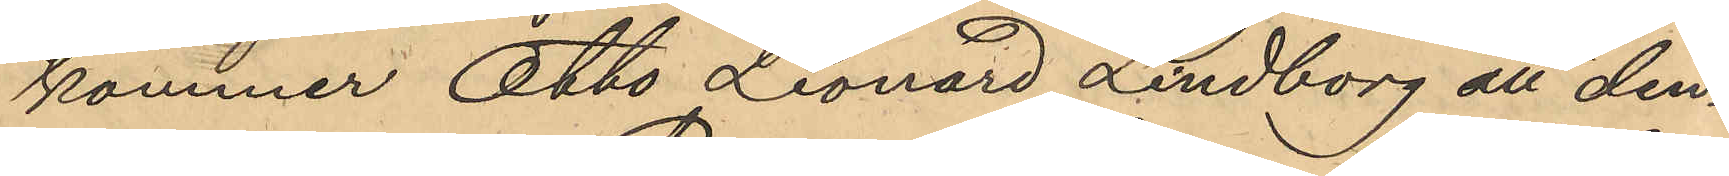kommer Otto Leonard Lindborg att den¬
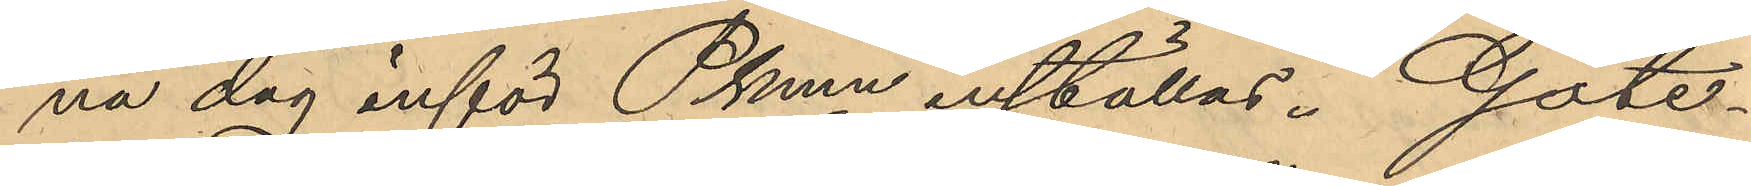na dag inför Pkmn inställas. Göte¬
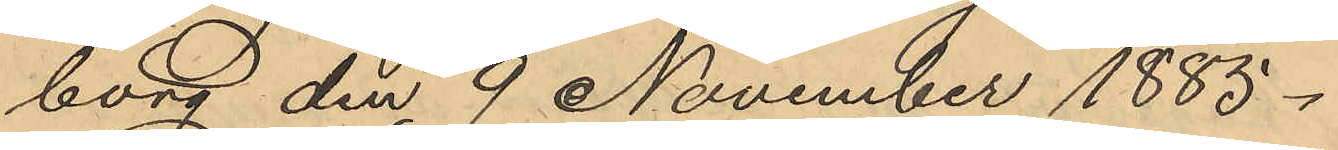borg den 9 November 1885.
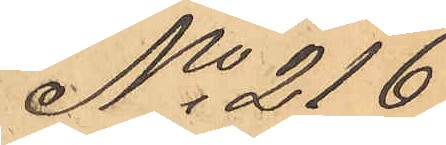No 216
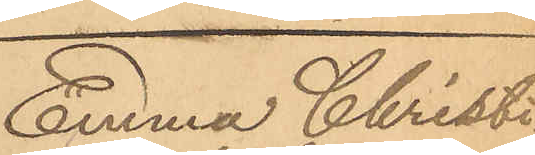Emma Christi¬
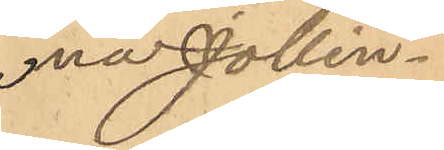na Jollin.
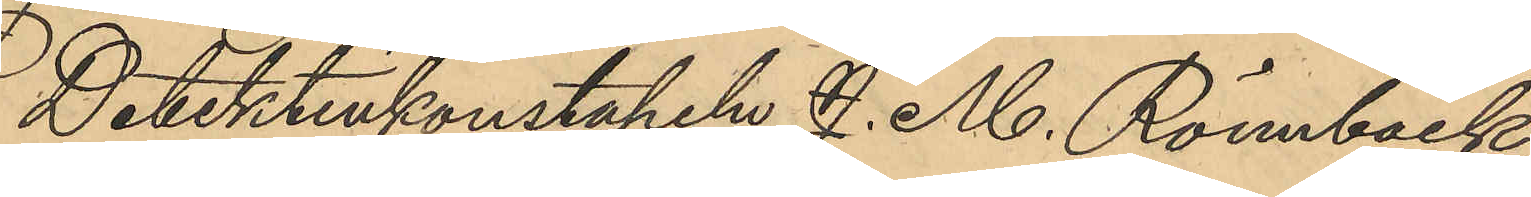Detektivkonstapeln J. M. Rönnbäck
